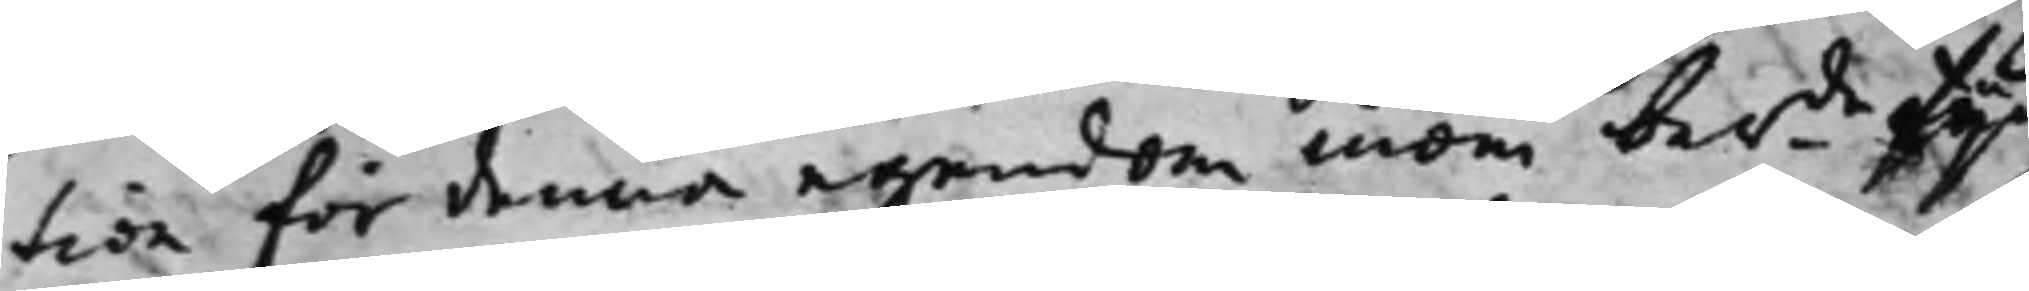tion för denna egendom inom berde tijd
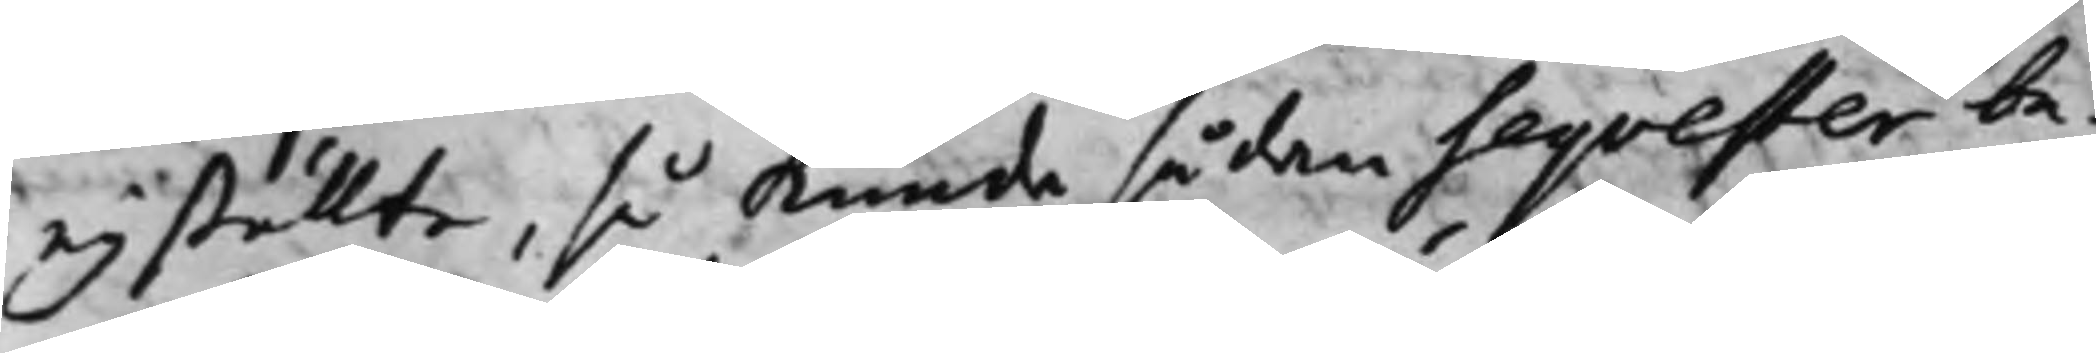ey ställte, så kunde sådan seqvester be¬
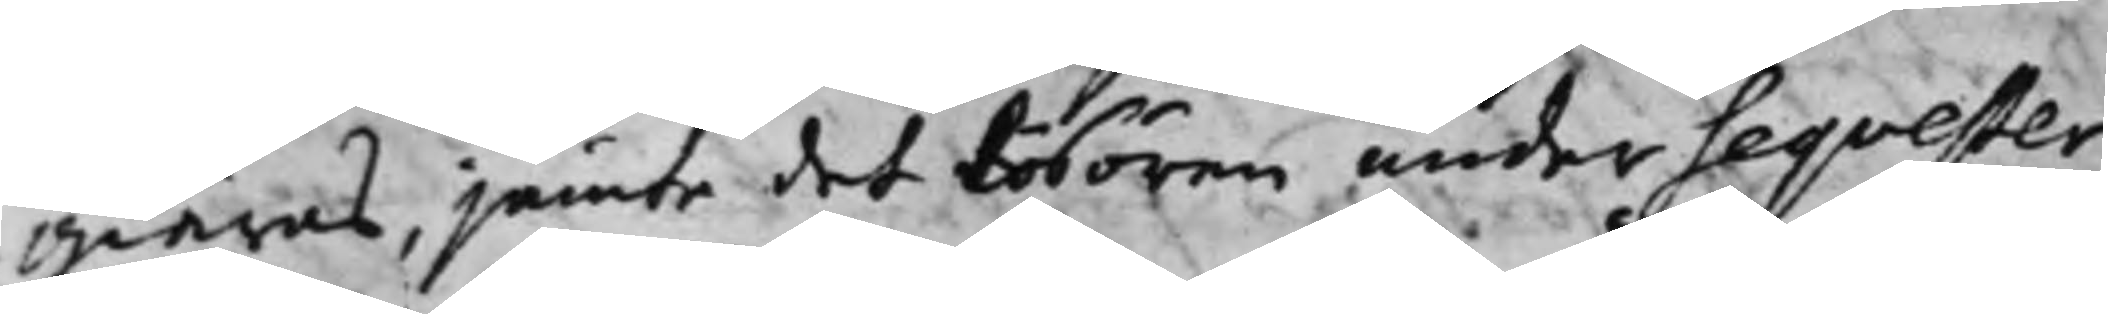giäras, jämte des Lösören under seqvester
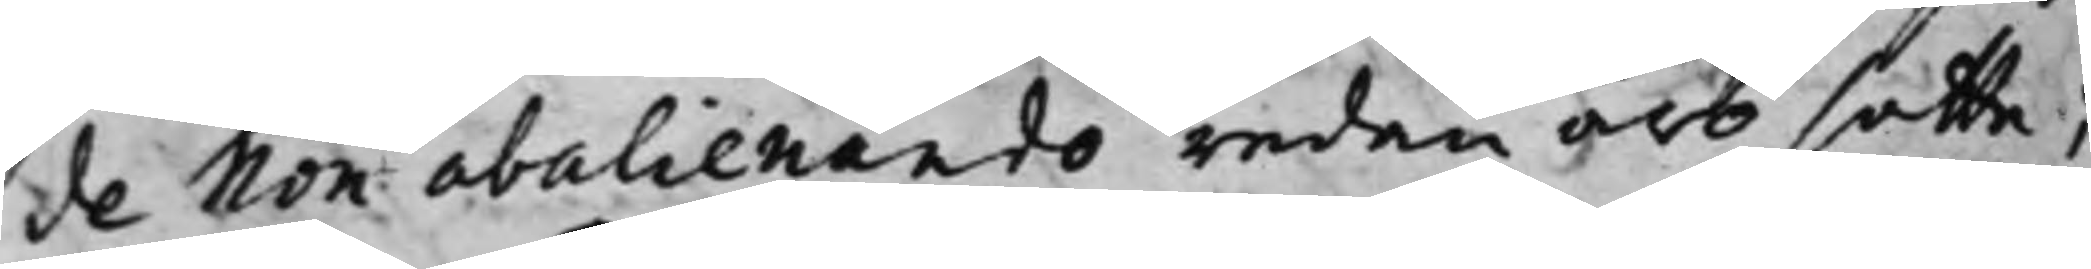de Non abalienando redan äro satte;
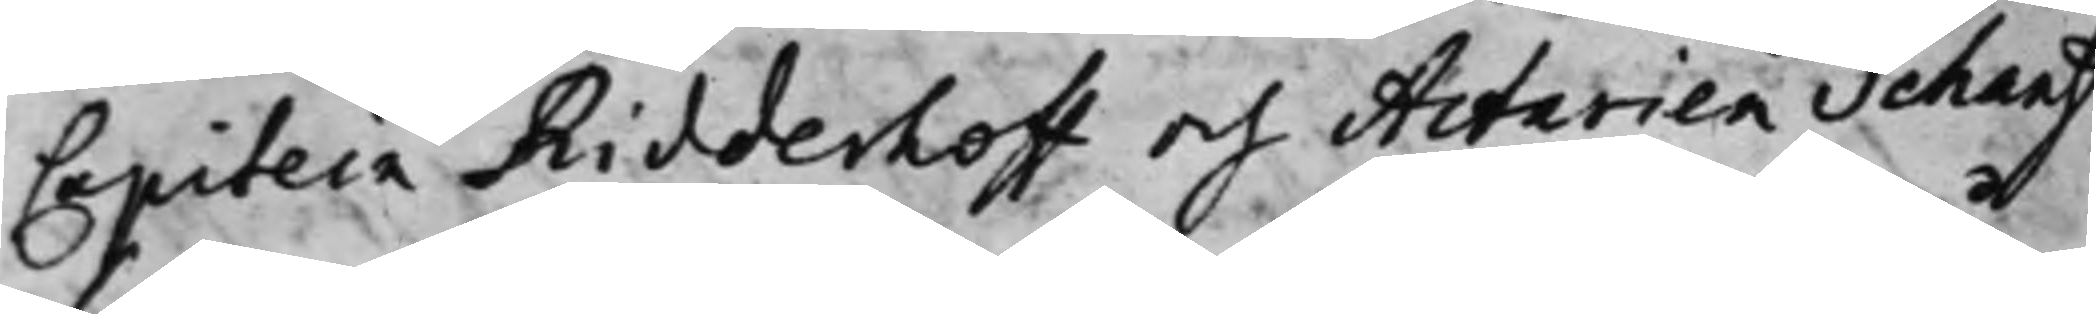Capitein Ridderhoff och Actarien Schantz
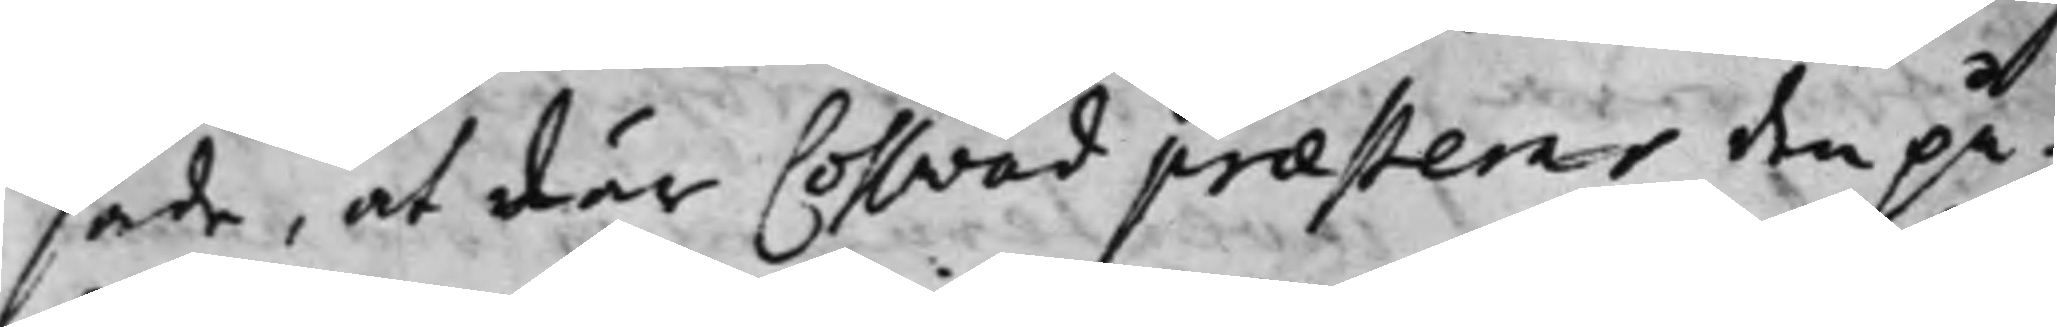sade, at där Cossvad praesterar den på¬
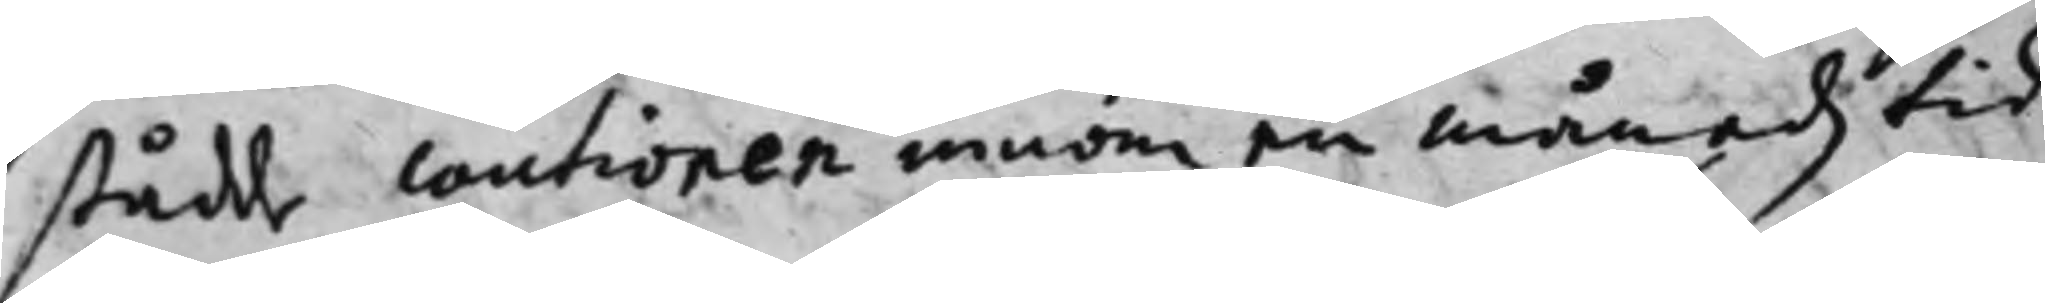stådde cautionen innom en månadz tid
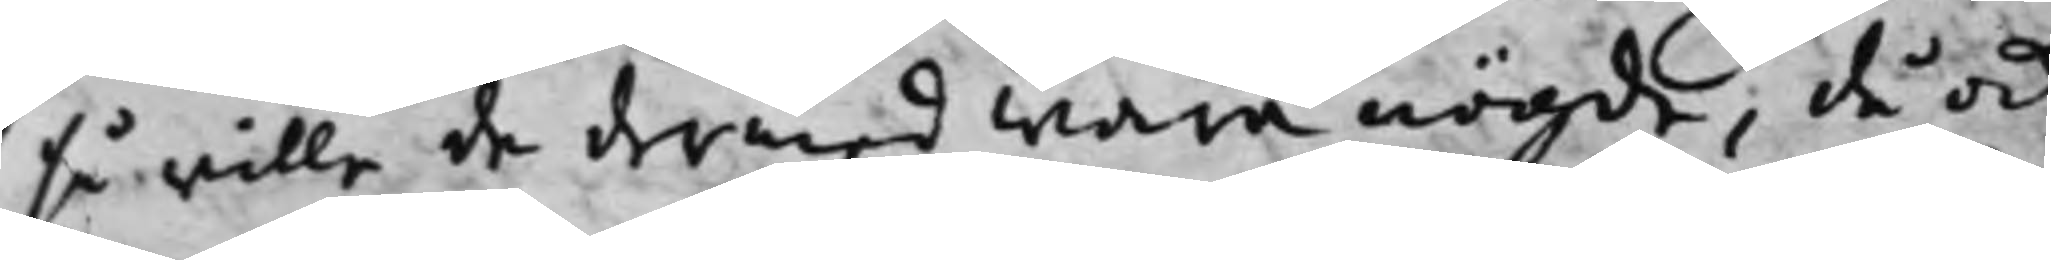så wille de dermed wara nögde, då ock
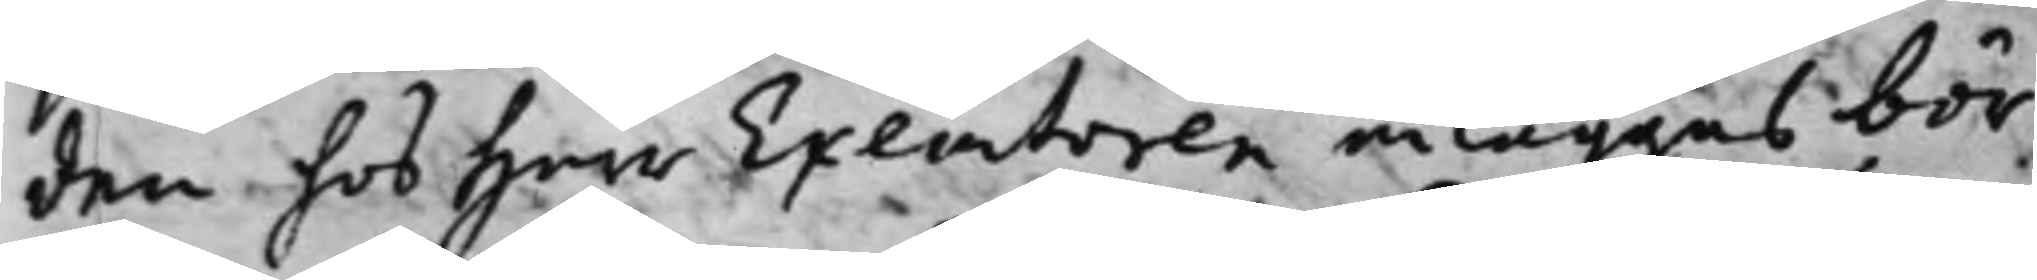den hos Herr Executoren inläggas bör,
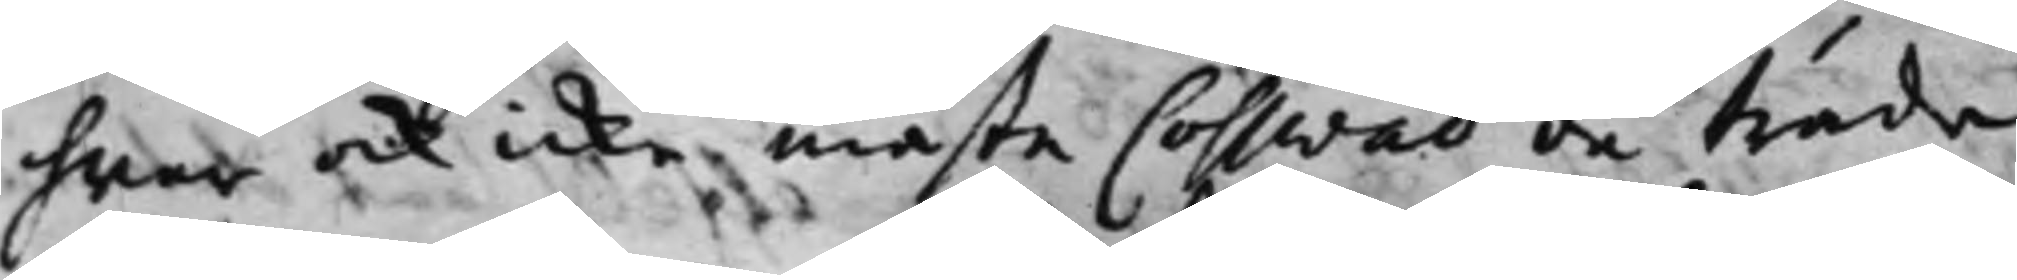hwar ock icke måste Cosswad då träda
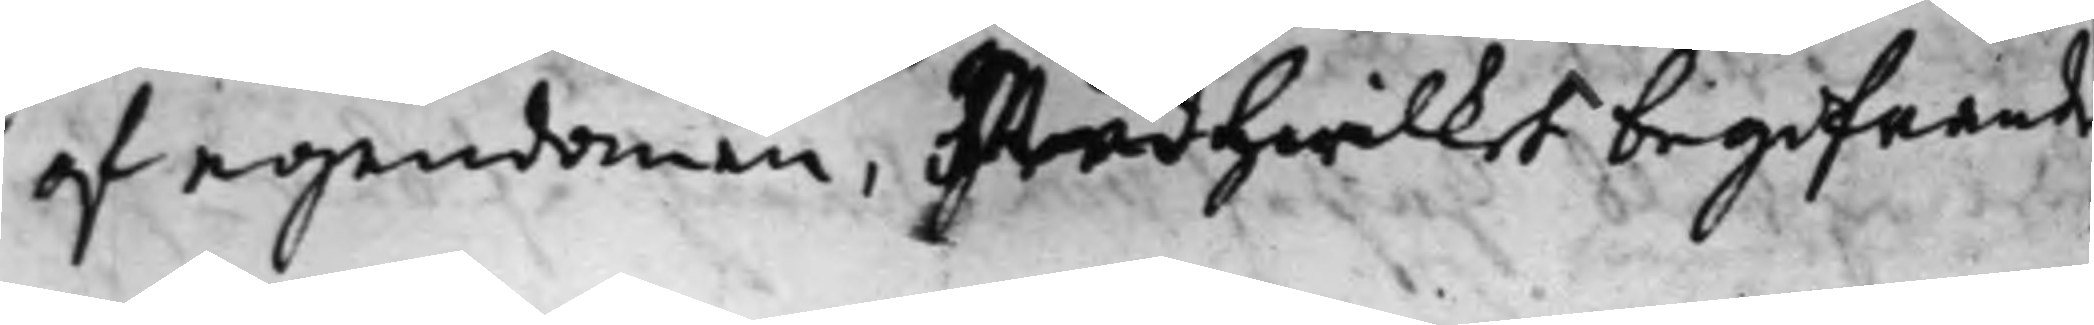af egendomen, Med hwilket begifvande
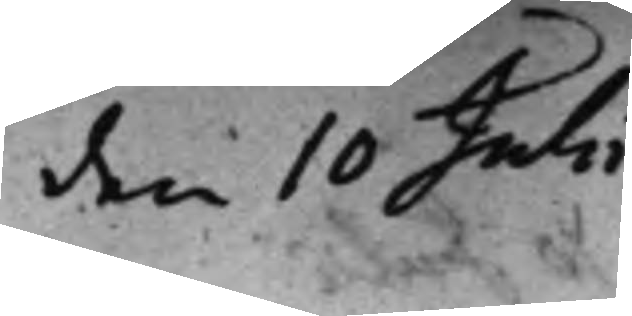den 10 Julii
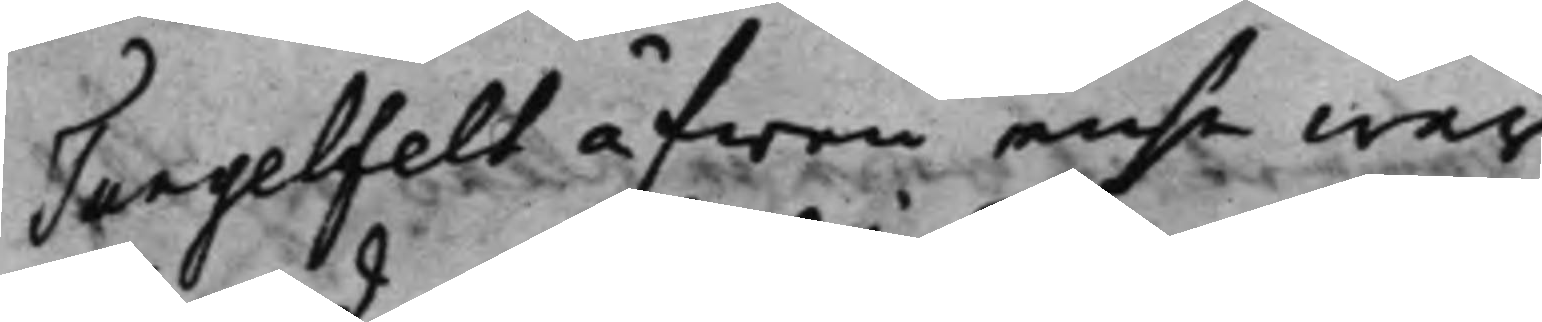Tungelfelt äfwen ense war.
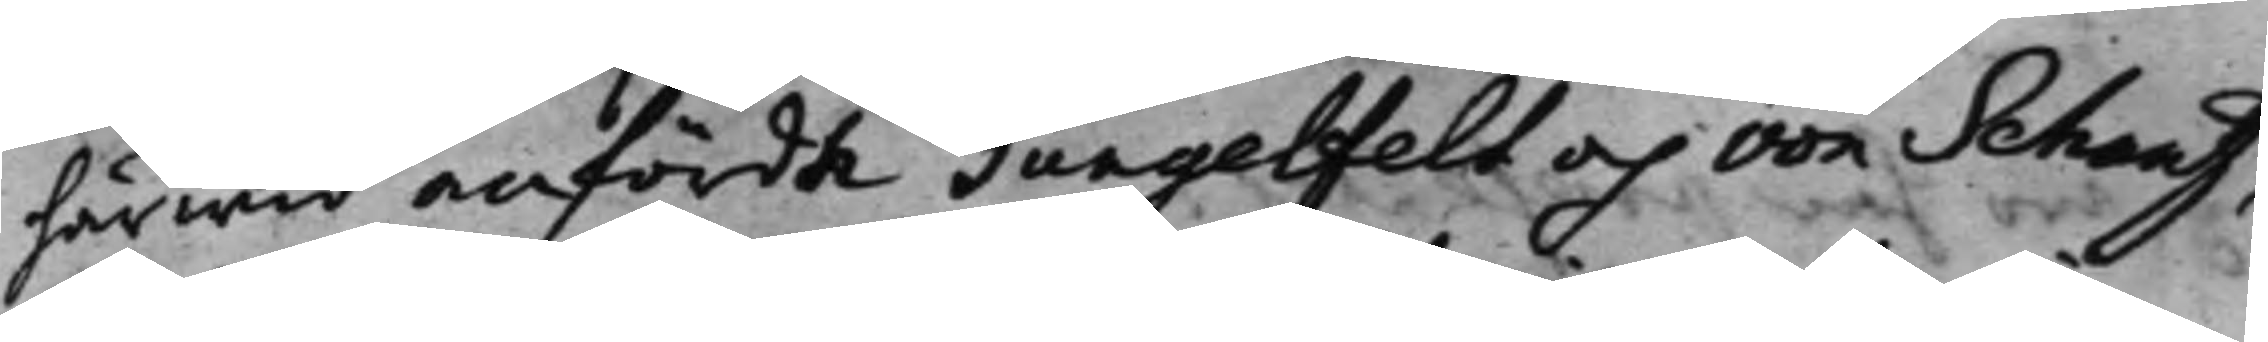härwid anförde Tungelfelt och von Schantz,
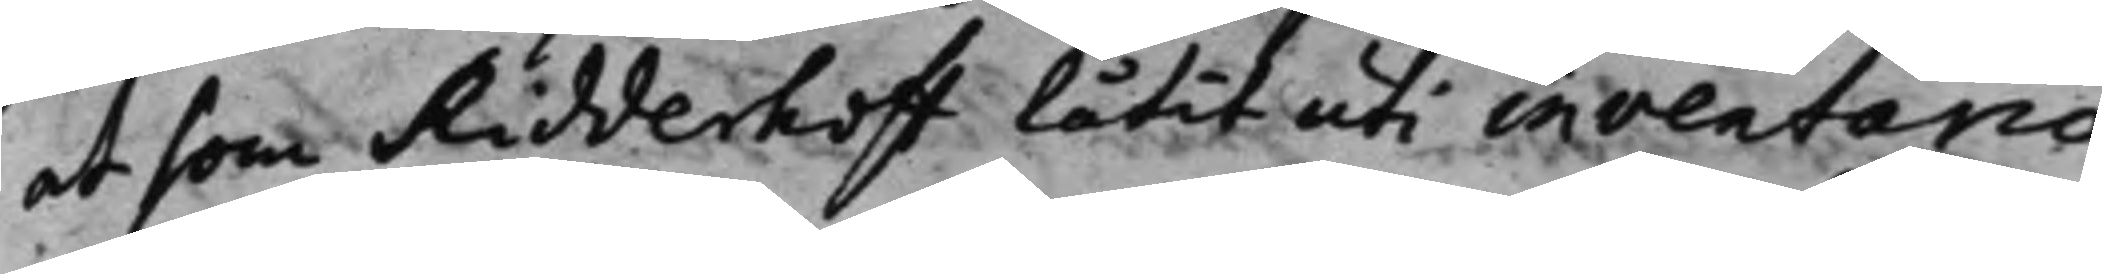at som Ridderhoff låtit uti inventario
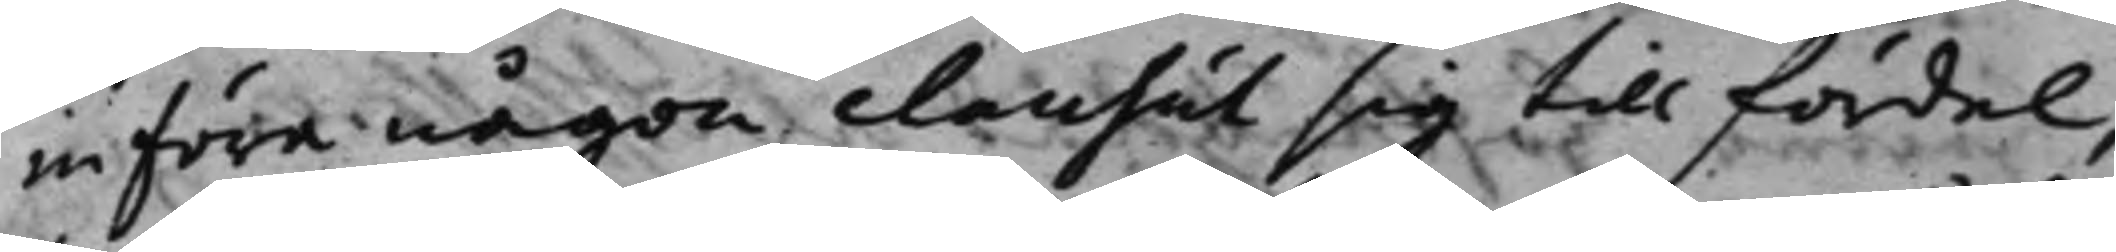införa någon clausul sig till fördel,
